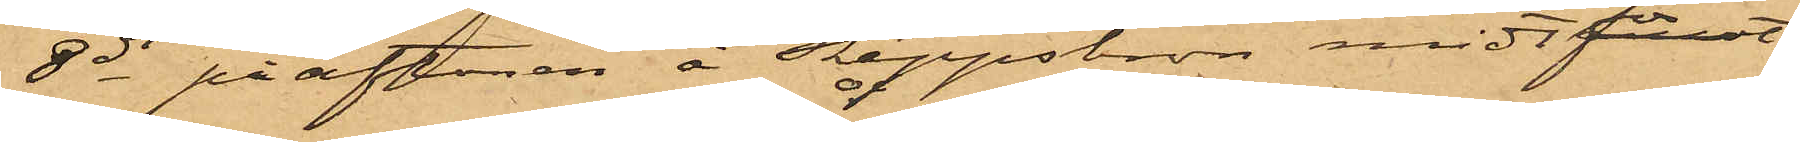8 ds på aftonen å Skeppsbron midtför
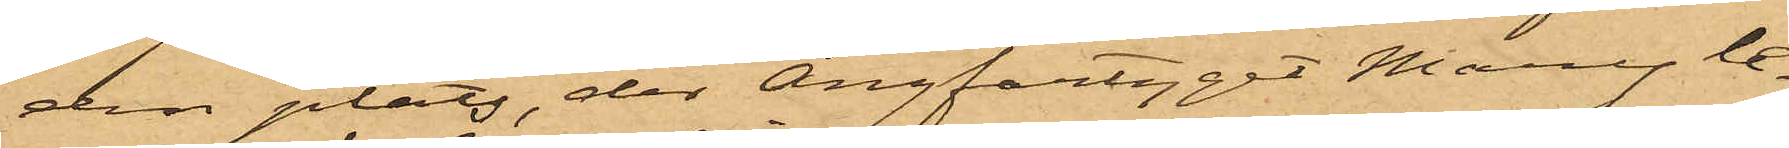den plats, der Ångfartyget Mary le¬
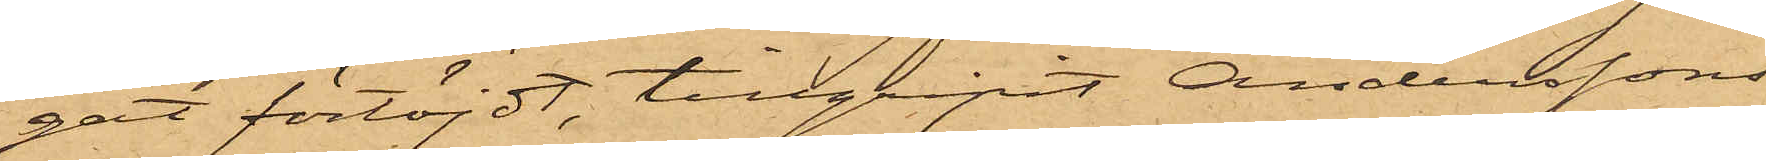gat förtöjdt, tillgripit Anderssons
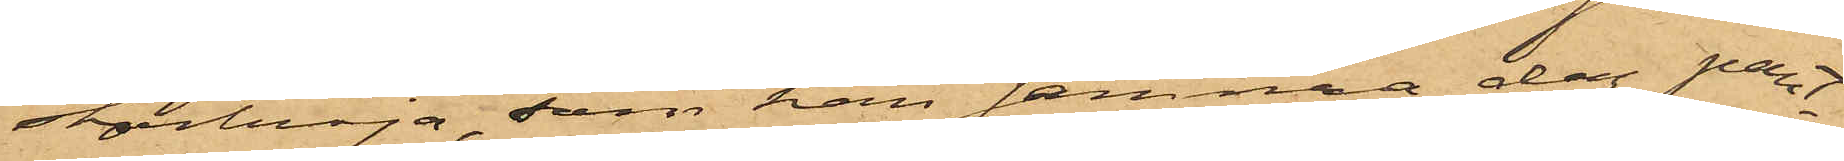stortröja, som han samma dag pant¬
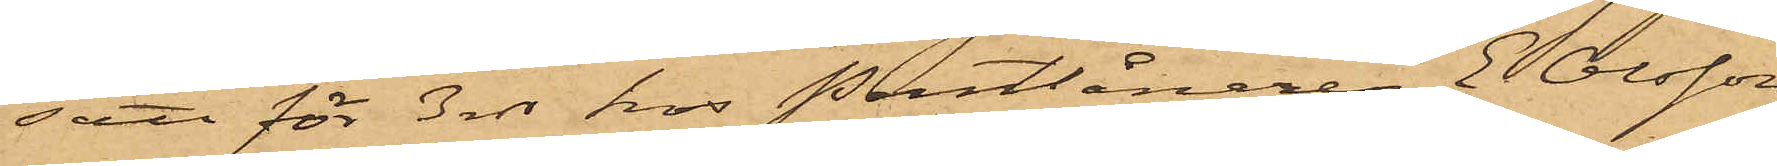satt för 3 rdr hos Pantlånaren E. Olsson
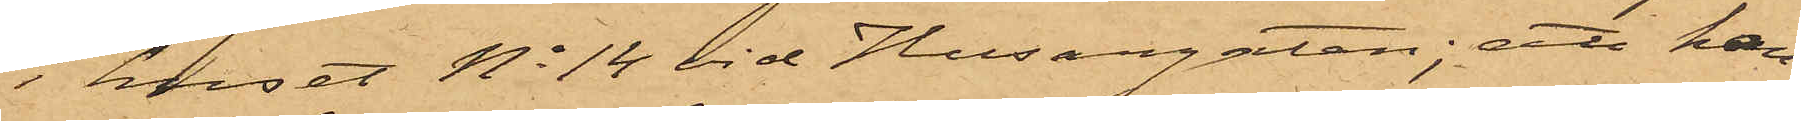i huset No 14 vid Husargatan; att han
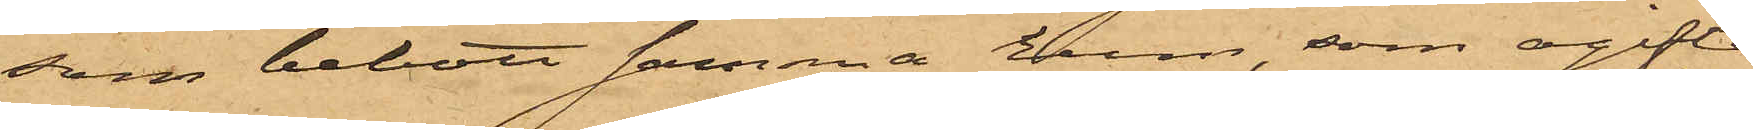som bebott samma hus, som ogifta
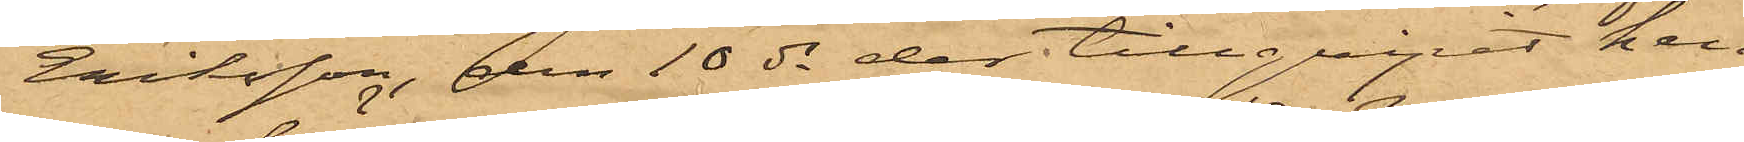Eriksson, den 10 ds der tillgripit hen¬
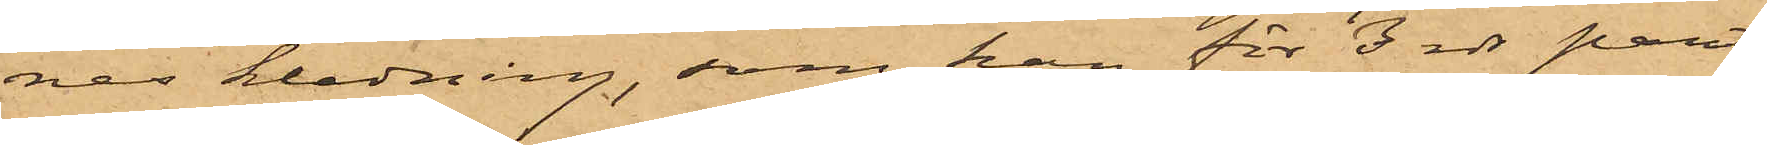nes klädning, som han för 3 rdr pant¬
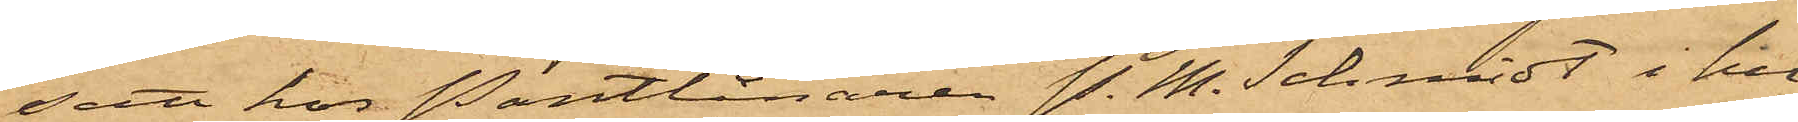satt hos Pantlånaren P. M. Schmidt i hu¬
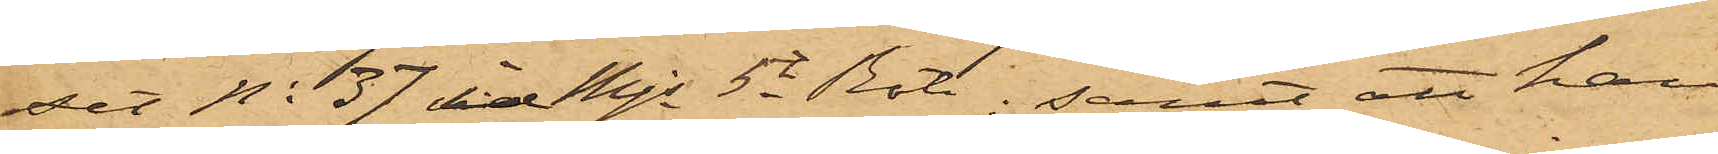set No 37 i Mjs 5e Rote; samt att han
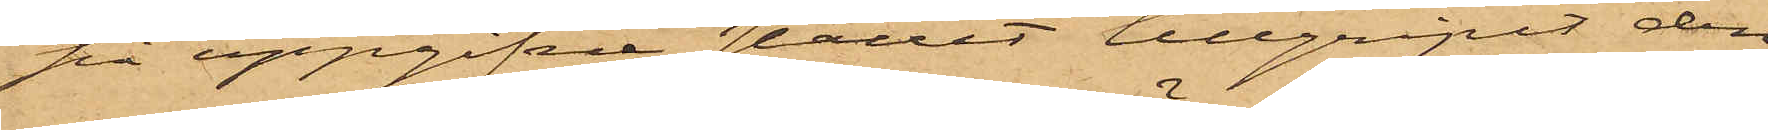på uppgifne stället tillgripit den
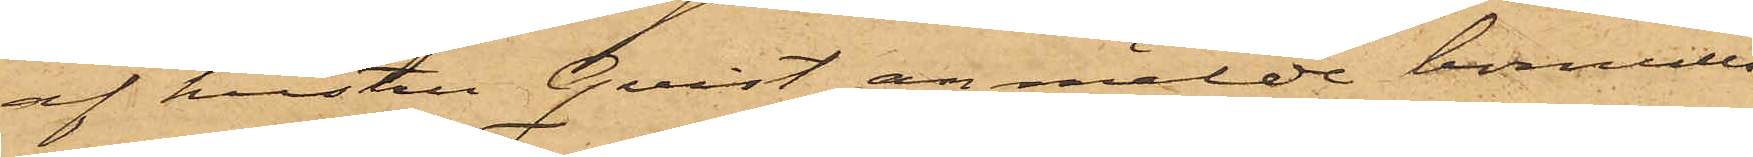af hustru Qvist anmälde bomulls¬
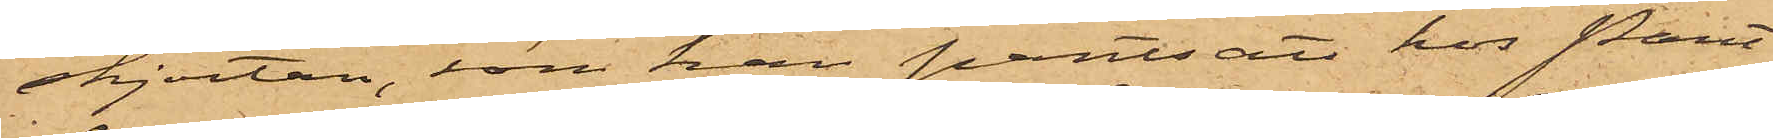skjortan, som han pantsatt hos Pant¬
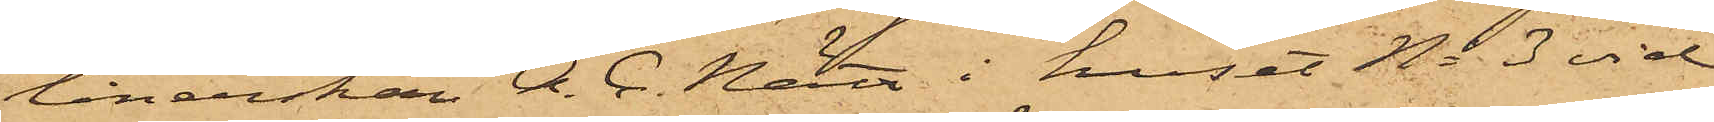lånerskan A. C. Nätt i huset No 3 vid
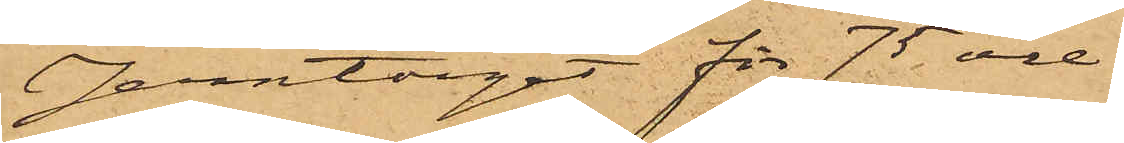Jerntorget för 75 öre.
